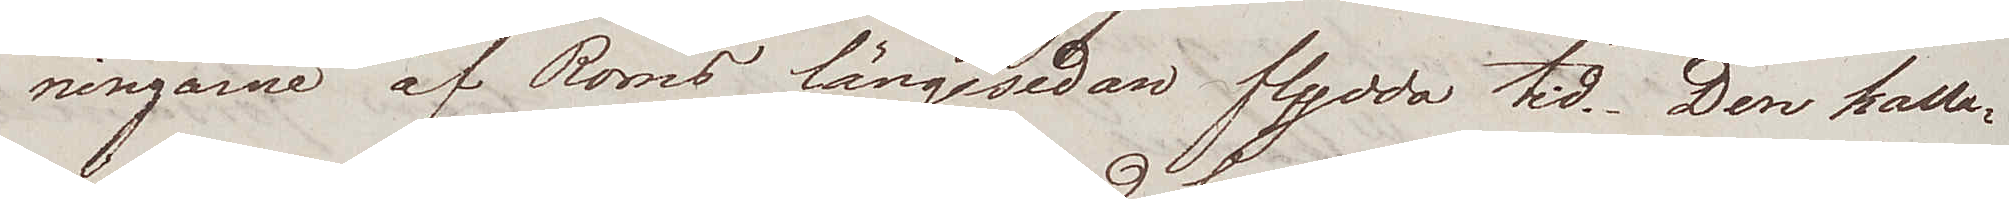ningarne af Roms längesedan flydda tid. Den kalla¬
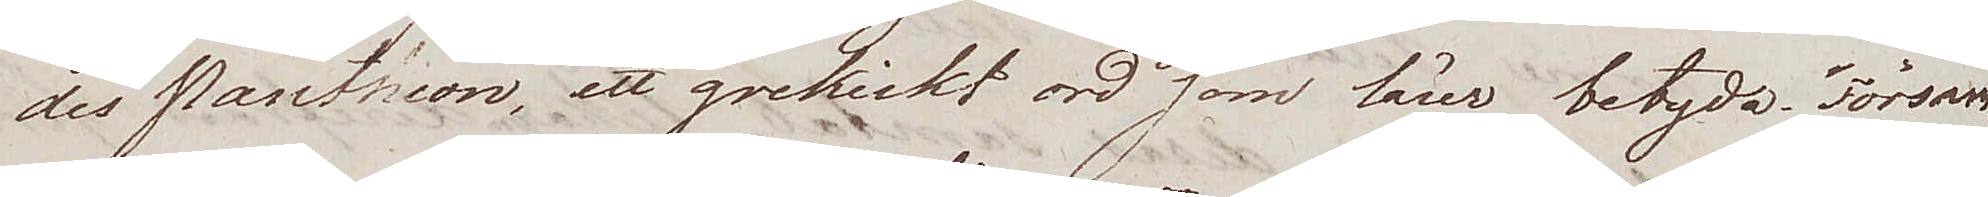des Pantheon, ett grekiskt ord som lärer betyda "Försam¬
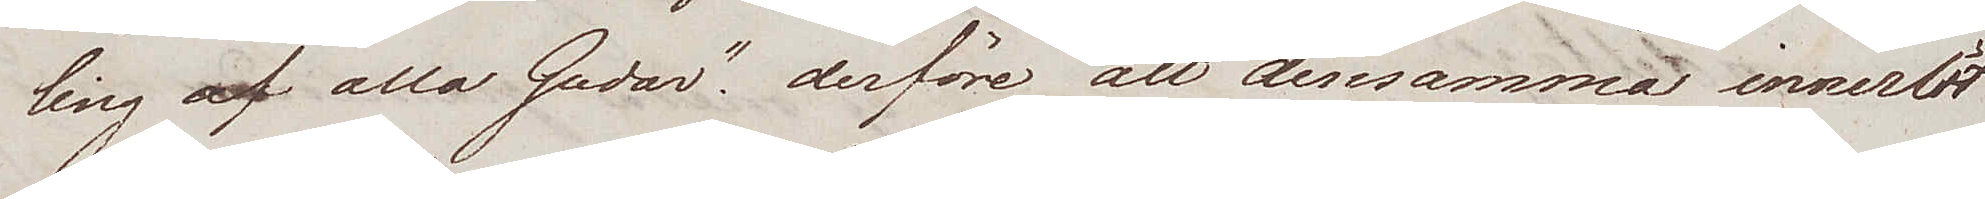ling af alla Gudar". derföre att densamma inneslöt
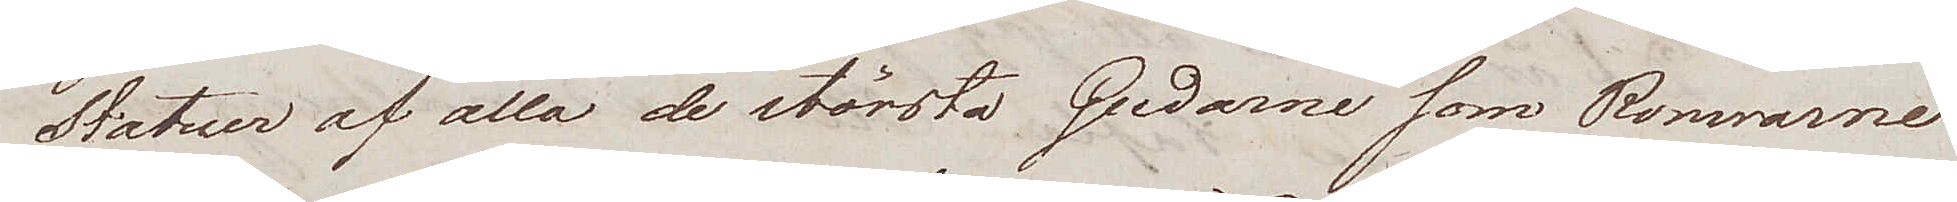Statuer af alla de största Gudarne som Romarne
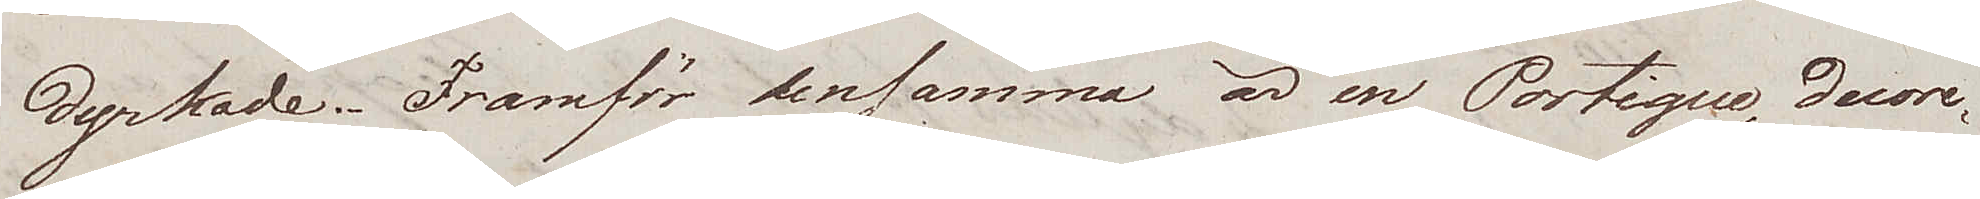dyrkade. Framför densamma är en Portique, decore¬
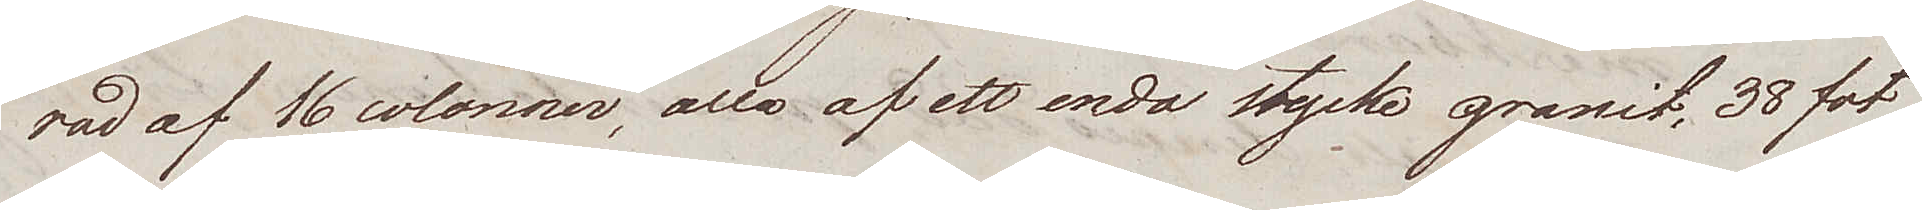rad av 16 colonner, alla af ett enda stycke granit, 38 fot
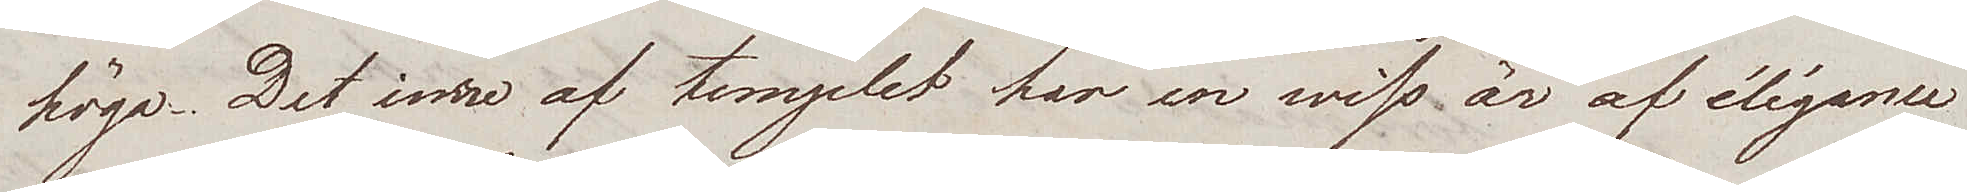höga. Det inre af templet har en wiss är af élégance
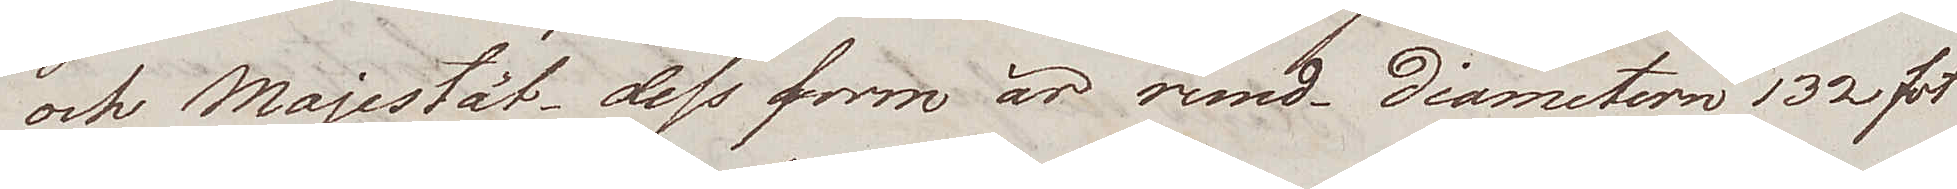och Majestät – dess form är rund. Diametern 132 fot
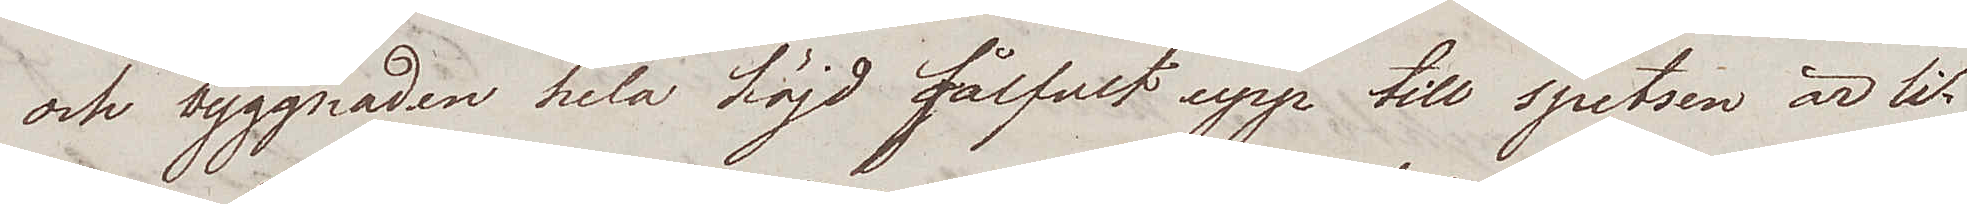och byggnaden hela höjd gålfvet upp till spetsen är li¬
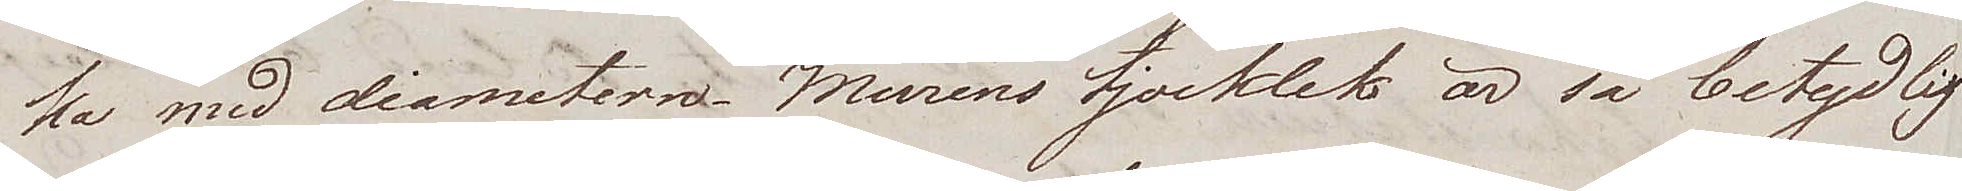ka med diametern. Murens tjocklek är så betydlig
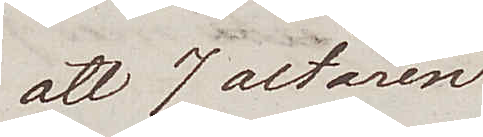att 7 altaren
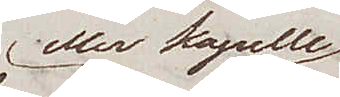eller kapelle
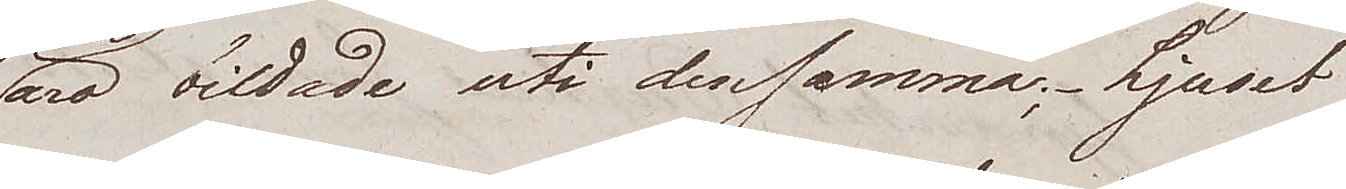äro bildade uti densamma; Ljuset
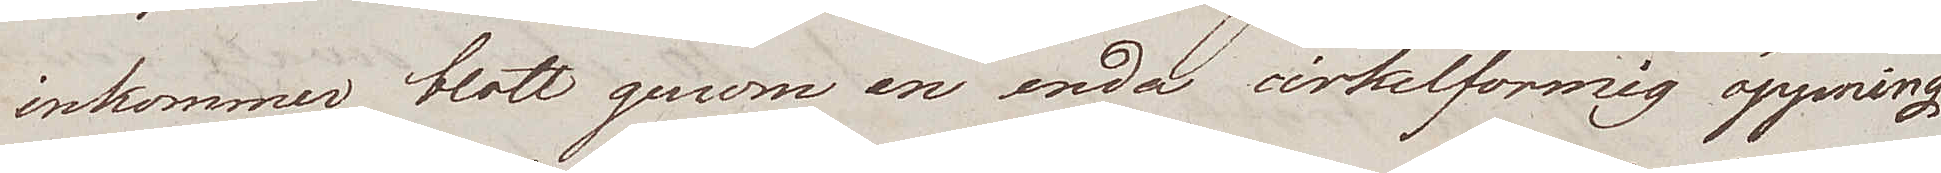inkommer blott genom en enda cirkelformig öppning
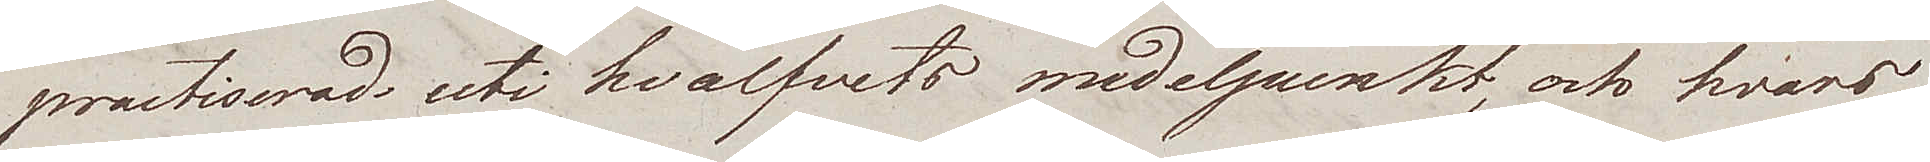practiserad, uti hvalfvets medelpunkt, och hvars
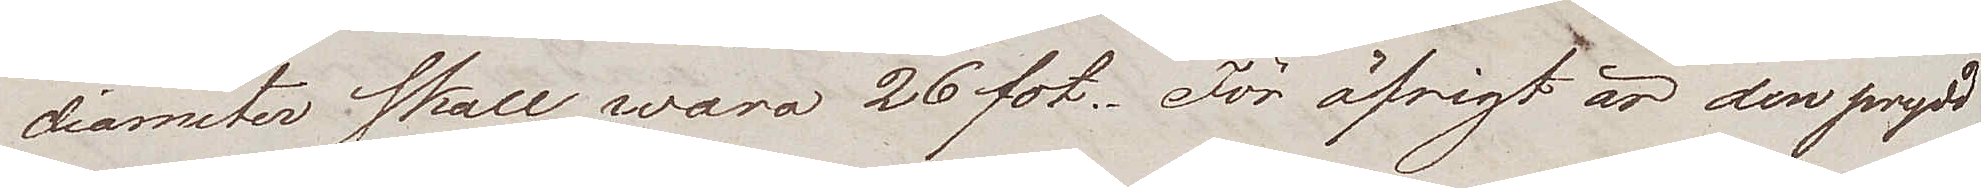diameter skall vara 26 fot. För öfrigt är den prydd
